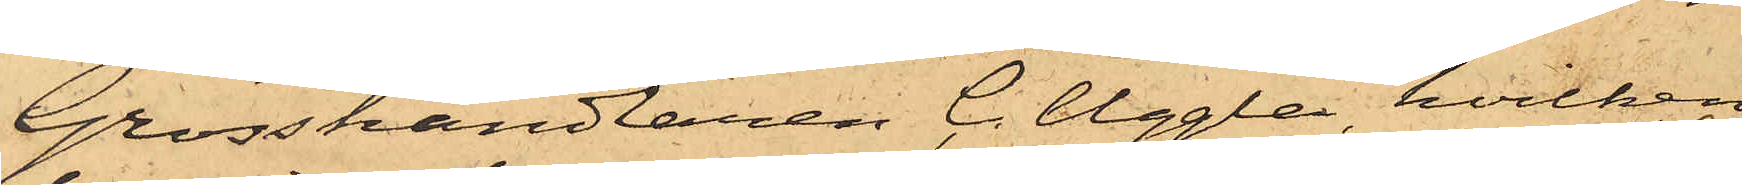Grosshandlaren C. Uggla, hvilken
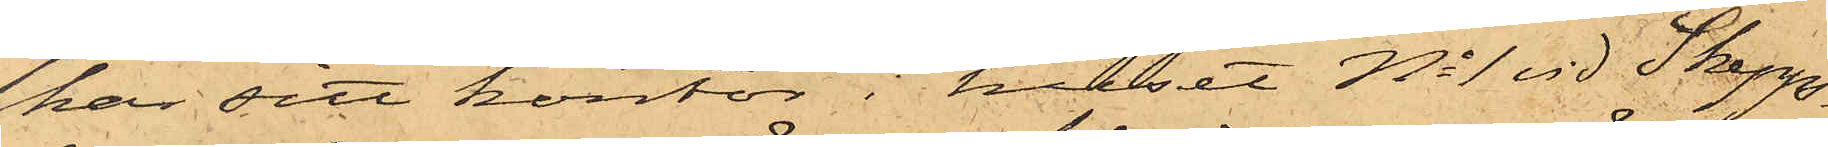har sitt kontor i huset No 1 vid Skepp¬
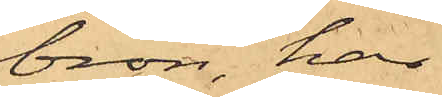bron, har
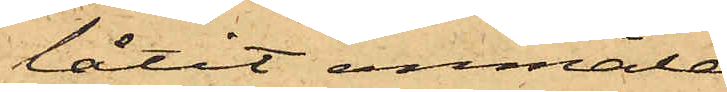låtit anmäla
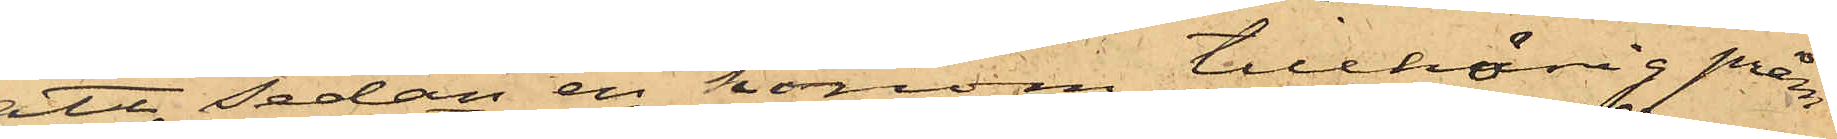att sedan en honom tillhörig pråm
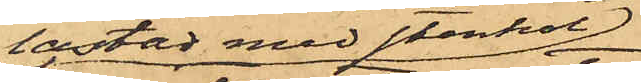lastad med stenkol
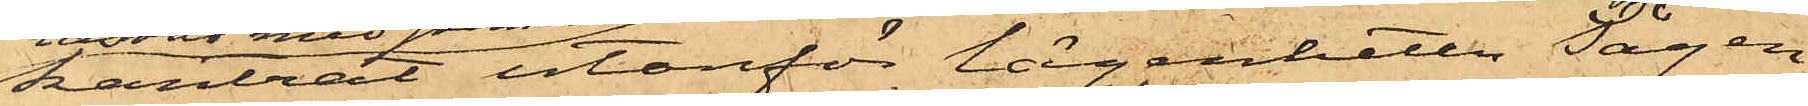kantrat utanför lägenheten Sågen
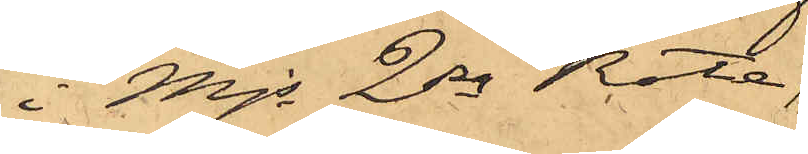i Mjs 2dra Rote,
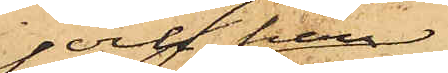och han
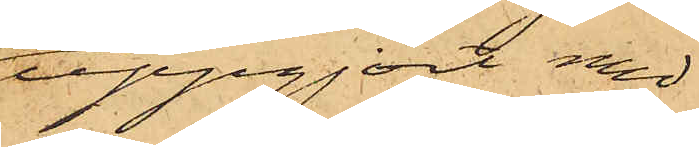uppgjort med
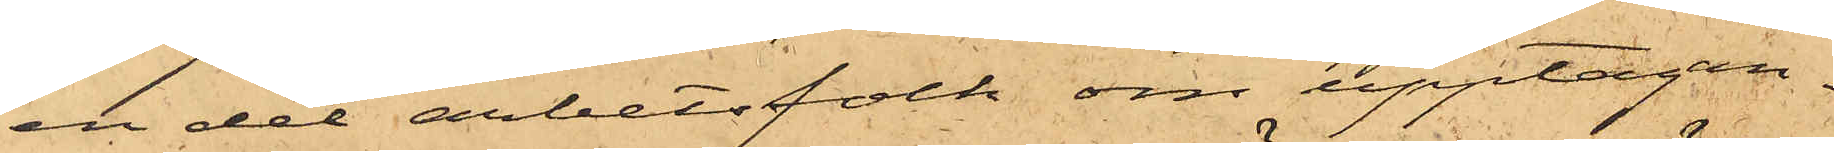en del arbetsfolk om upptagan¬
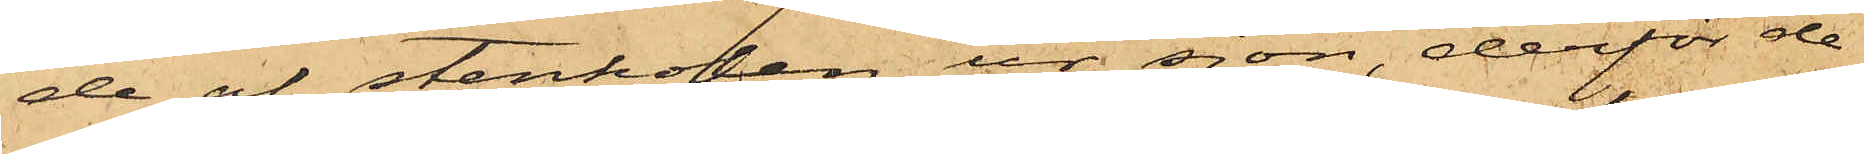de af stenkolen ur sjön, derför de
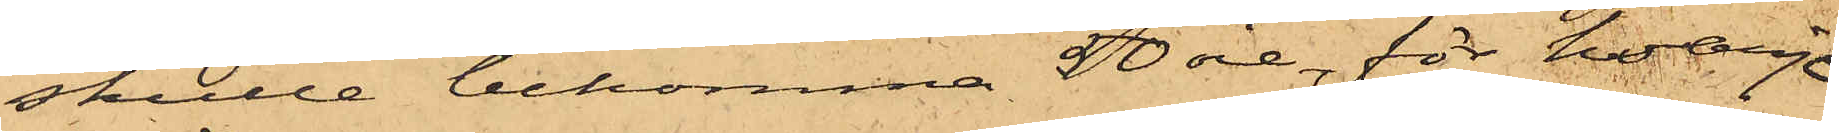skulle bekomma 50 öre, för hvarje
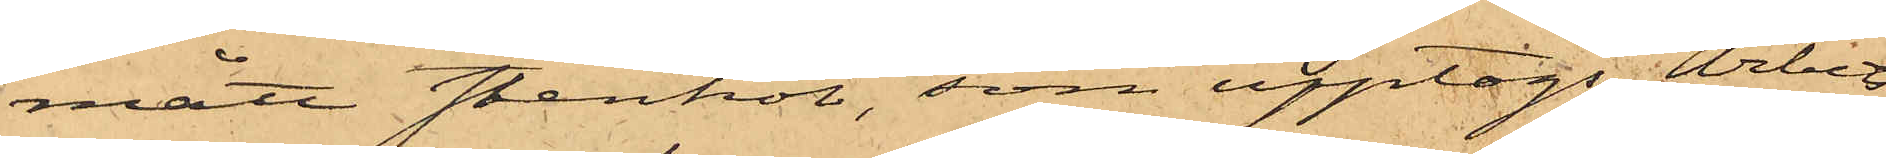mått stenkol, som upptogs, Arbets¬
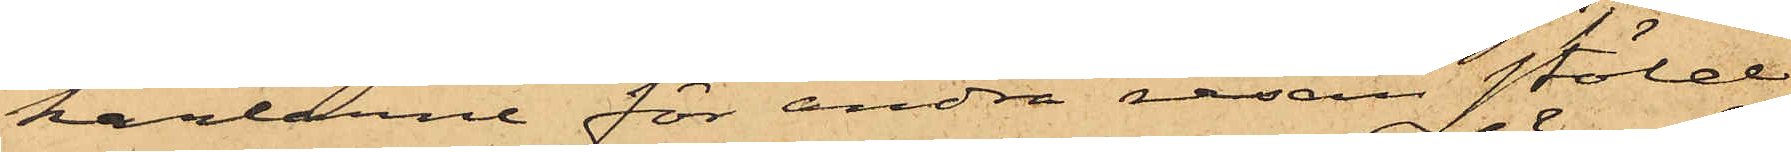karlarne för andra resan stöld
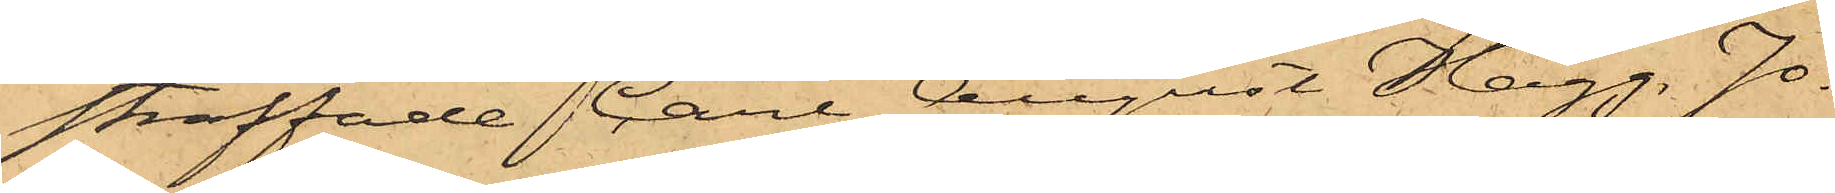straffade Carl August Hägg, Jo¬
